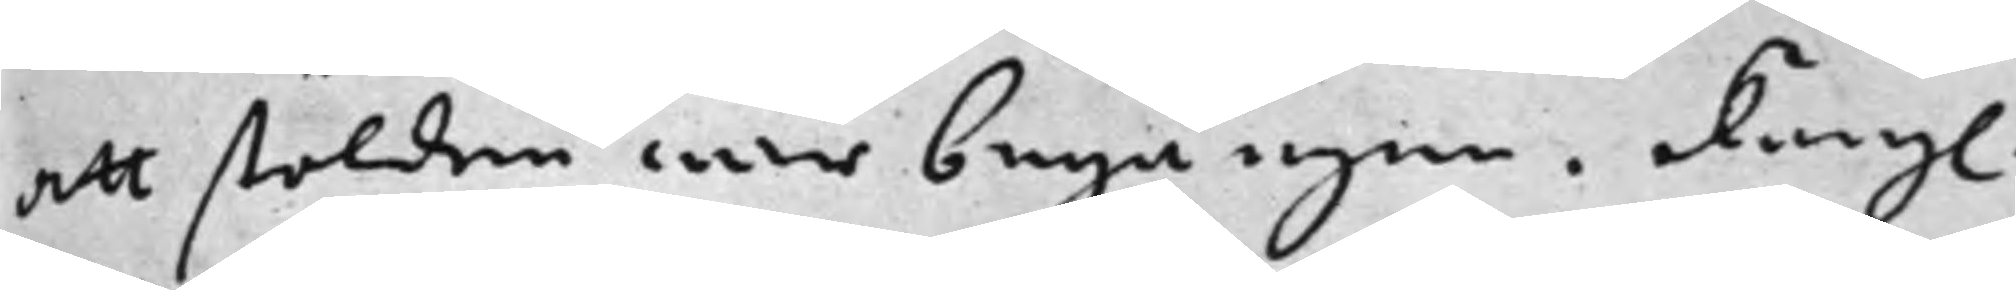att stölden war begången. Kongl. 
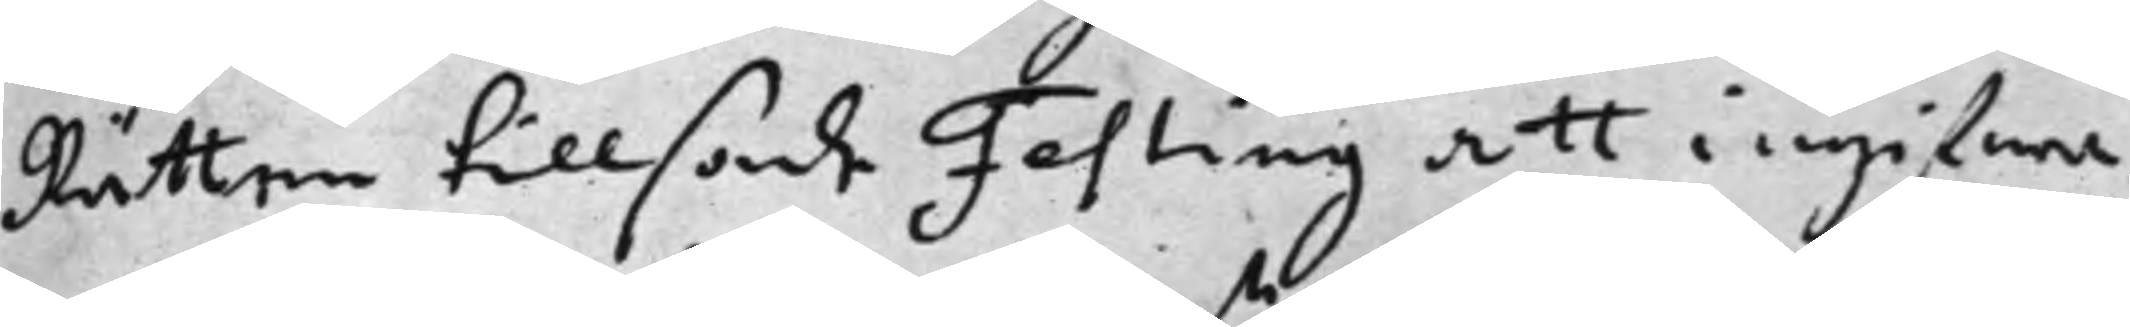Rätten tillsade Festing att ingifwa
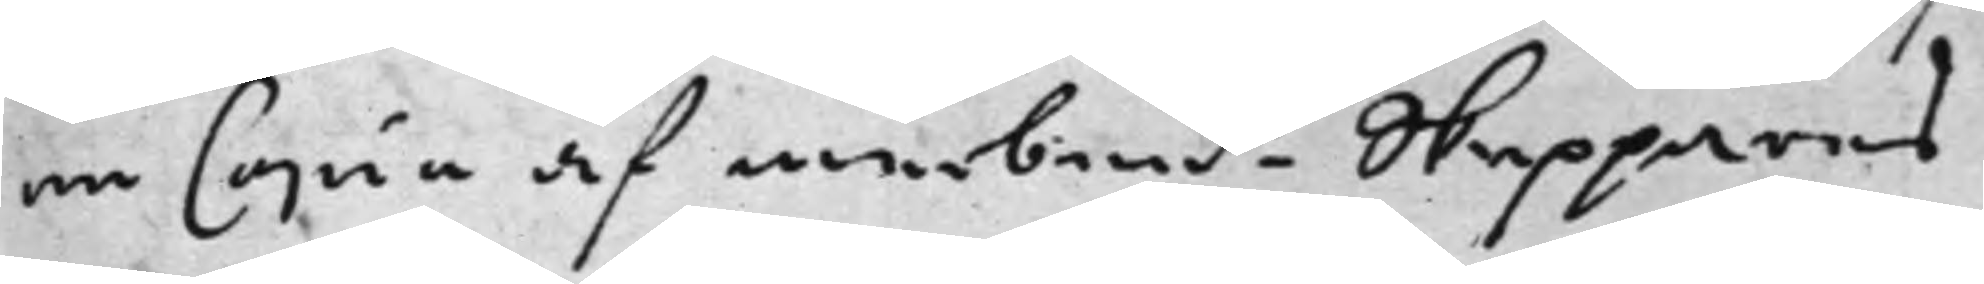en Copia af nu bente Skeppares 
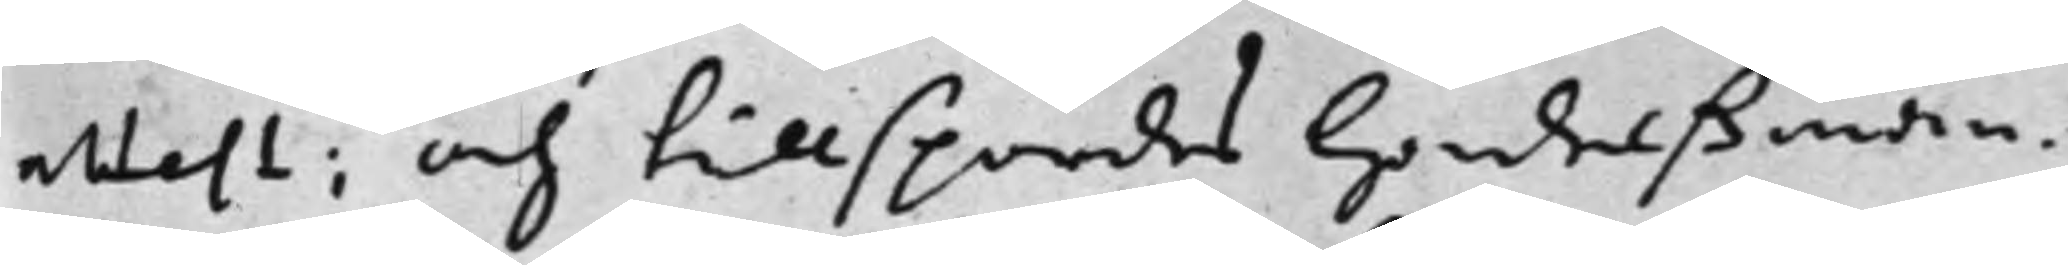attest; och tillspordes Handelßman¬ 
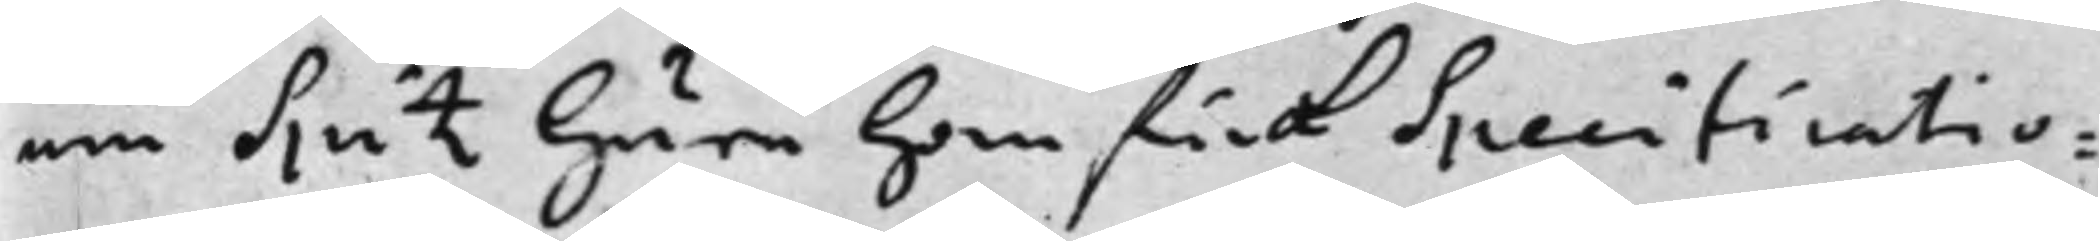nen Spitz huru han fick Specificatio¬
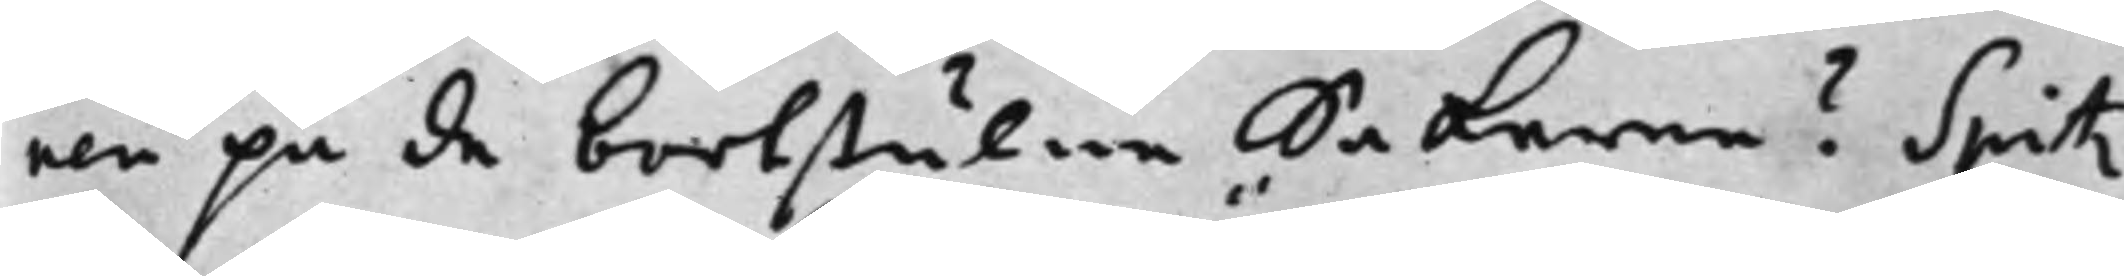nen på de bortstulne Sakerne? Spitz
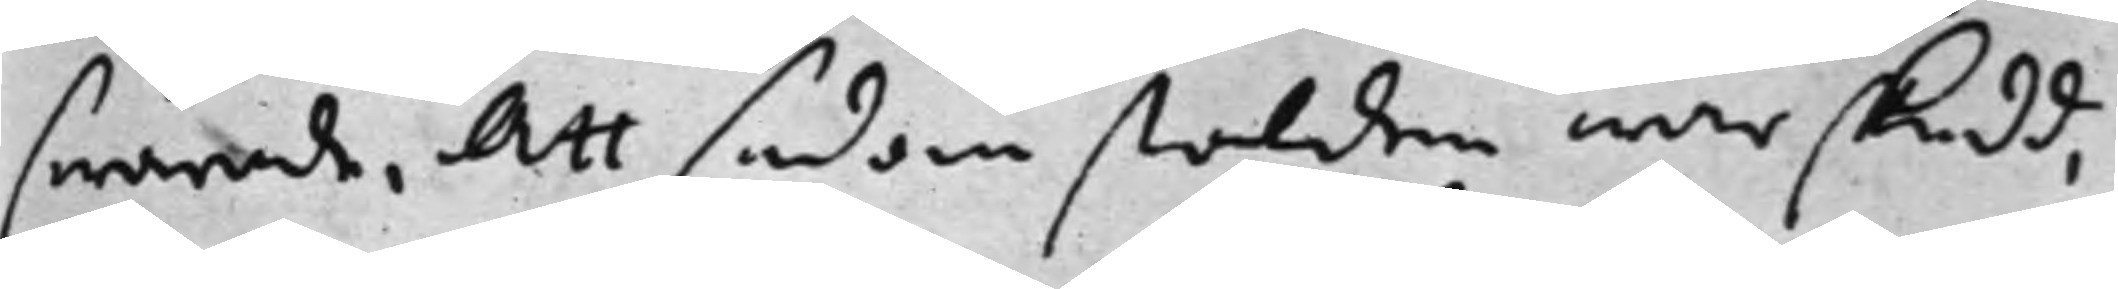swarade, Att sedan stölden war skedd,
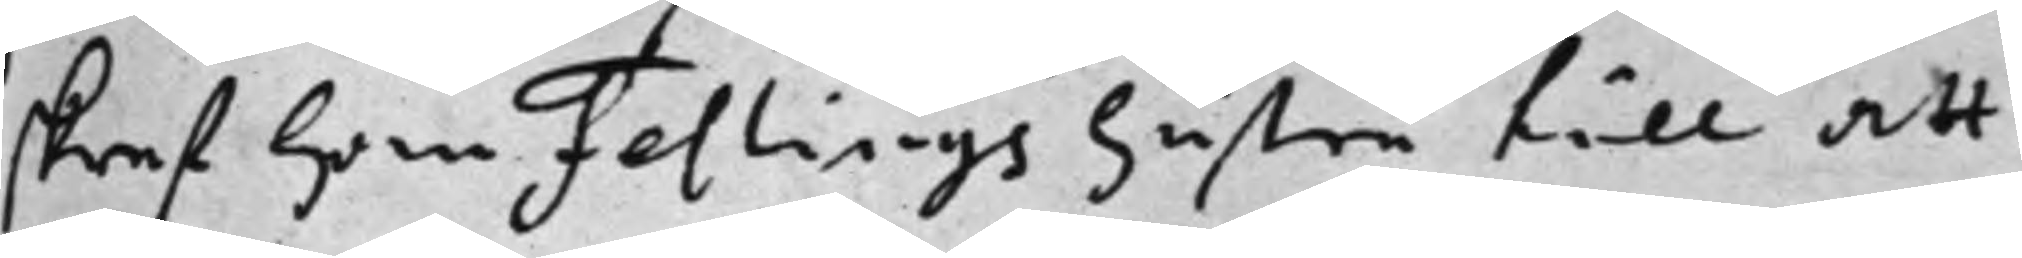skref han Festings hustru till att
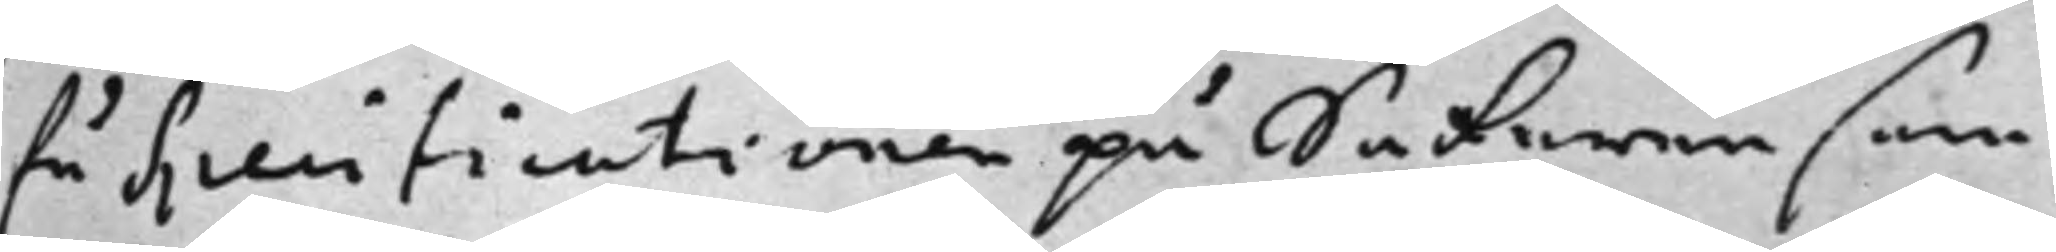få speficationen på Sakerne som
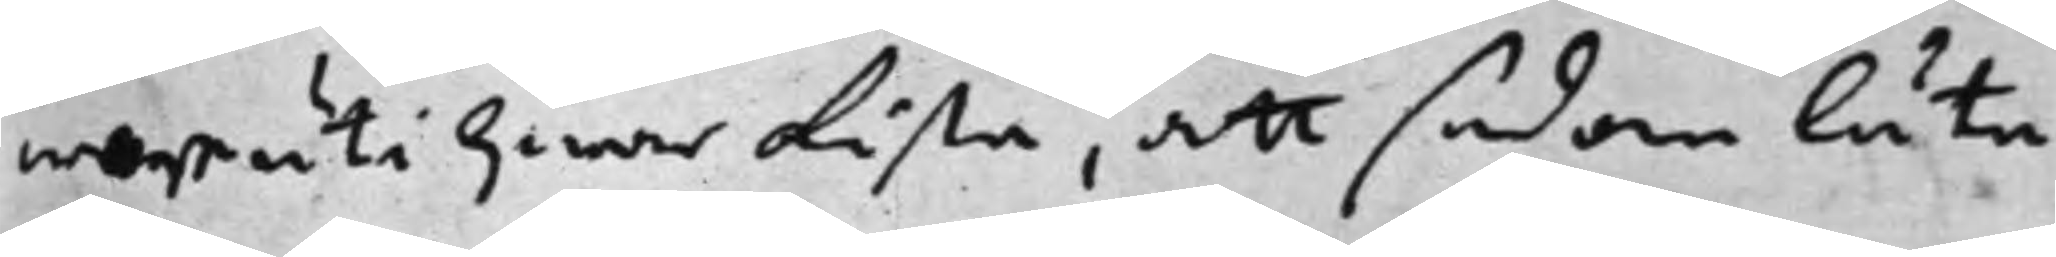war uti hwar Lista, att sedan låta
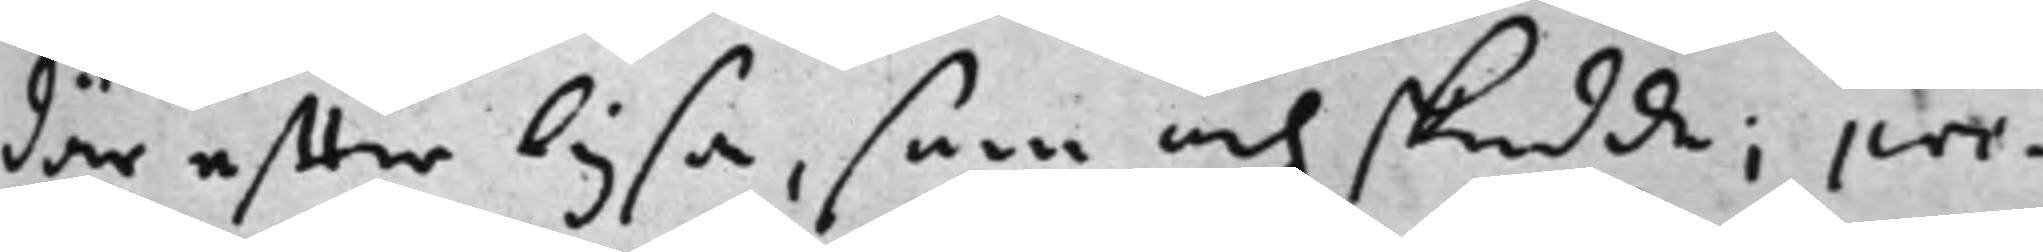där effter lysa, som och skedde; pre¬
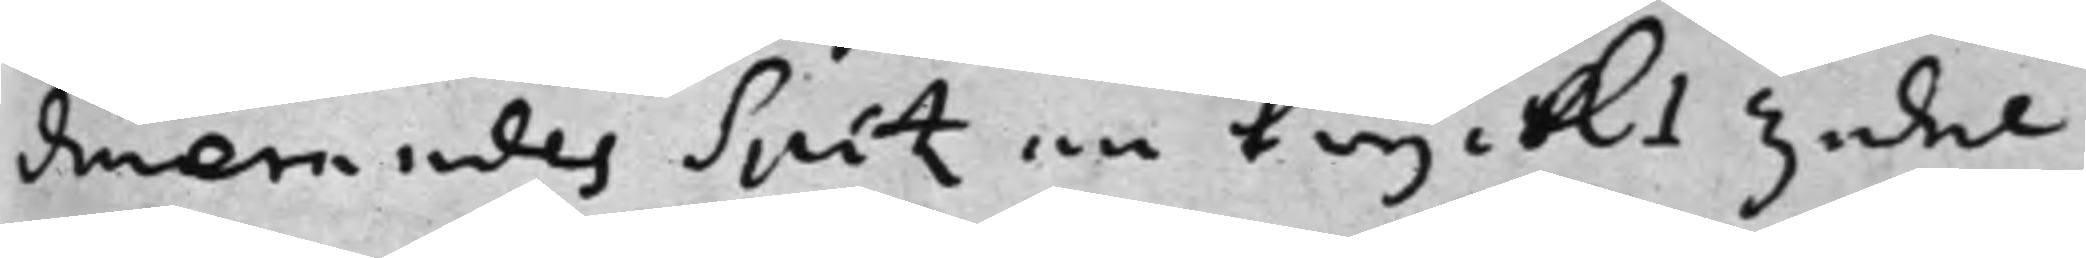dmerandes Spitz en tryckt zedel
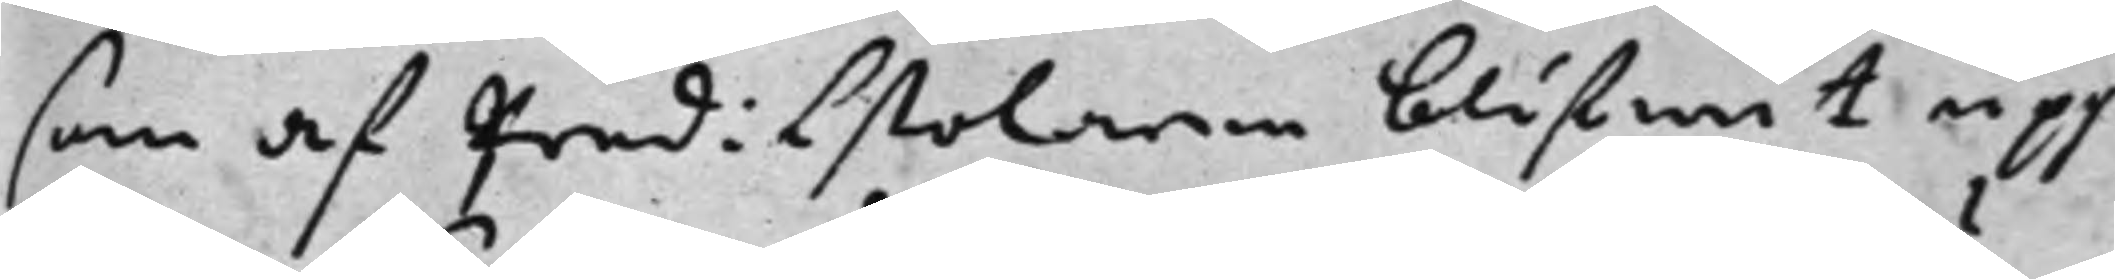som af predisstolarne blifwit upp¬
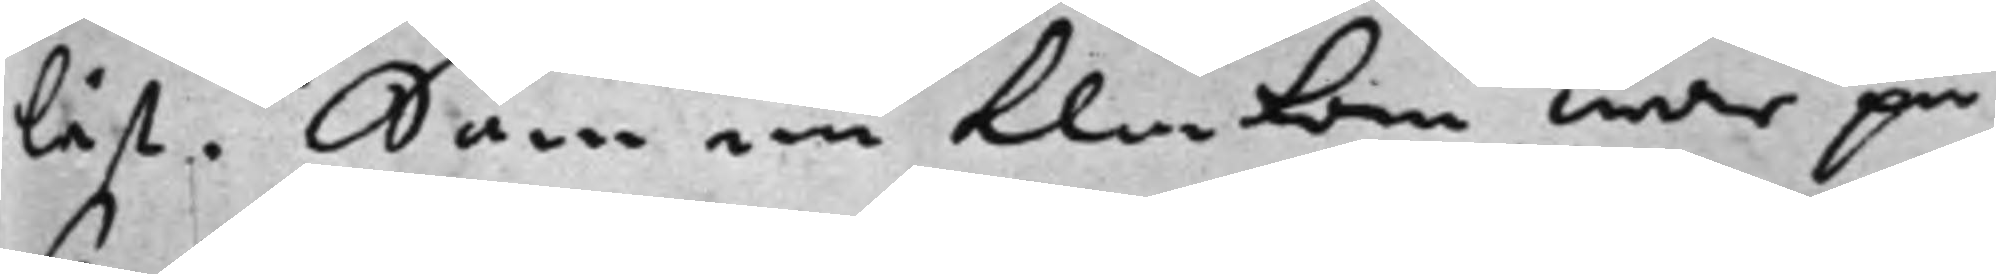läst. Som nu klockan war på
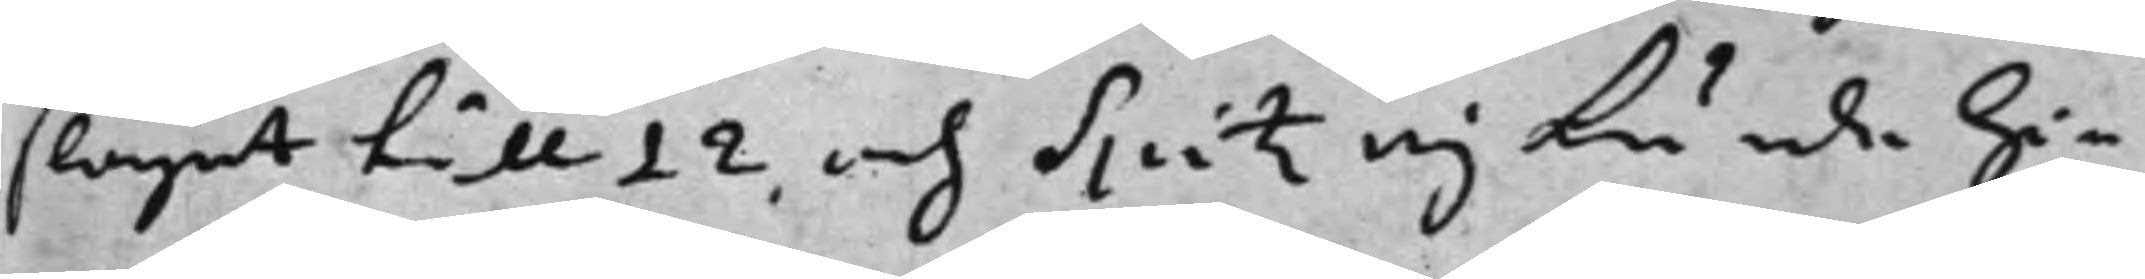slaget till 12 och Spitz ej kunde hi¬
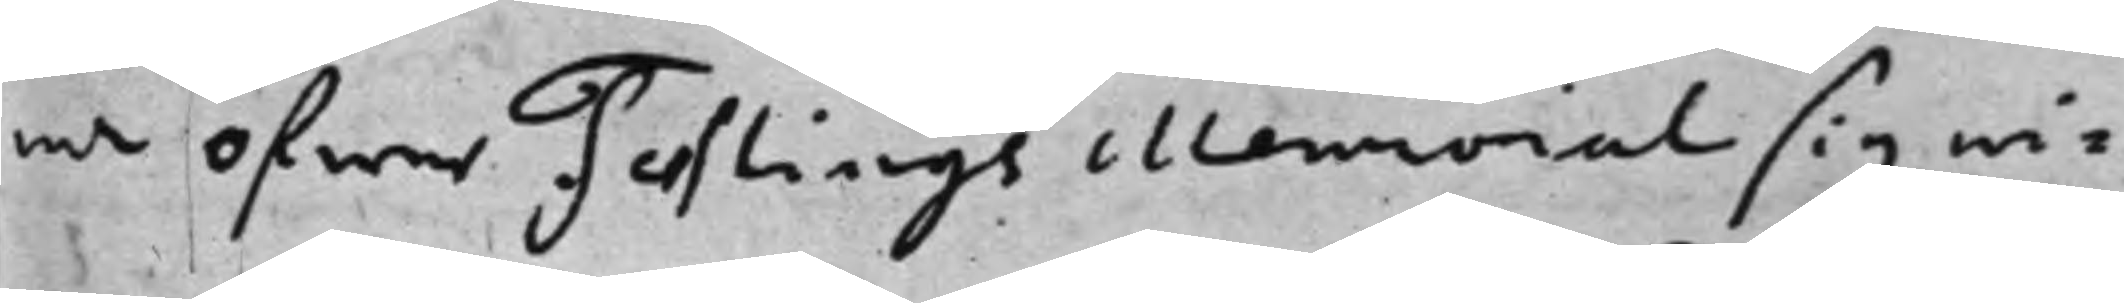na öfwer Festings Memorial sig wi¬
